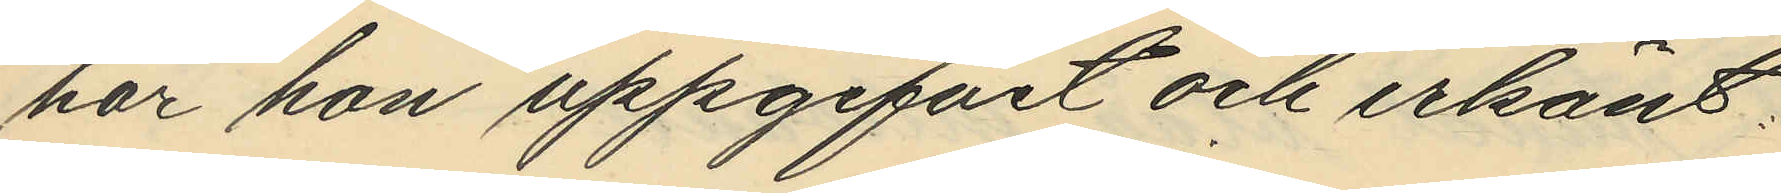har hon uppgifvit och erkänt:
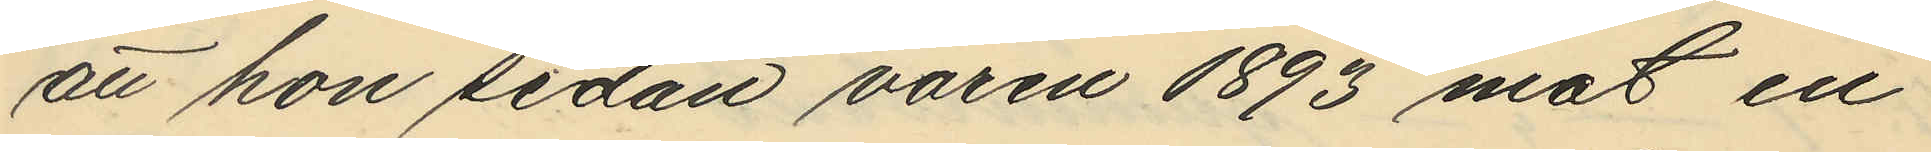att hon sedan varen 1893 mot en
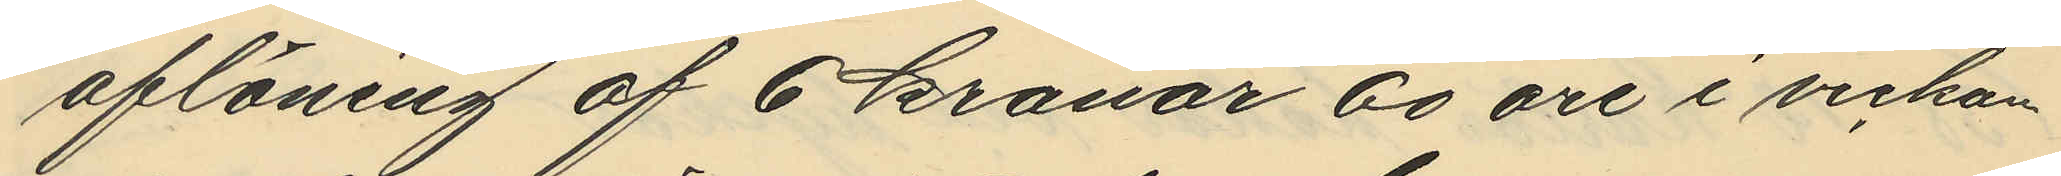aflöning af 6 kronor 60 öre i veckan
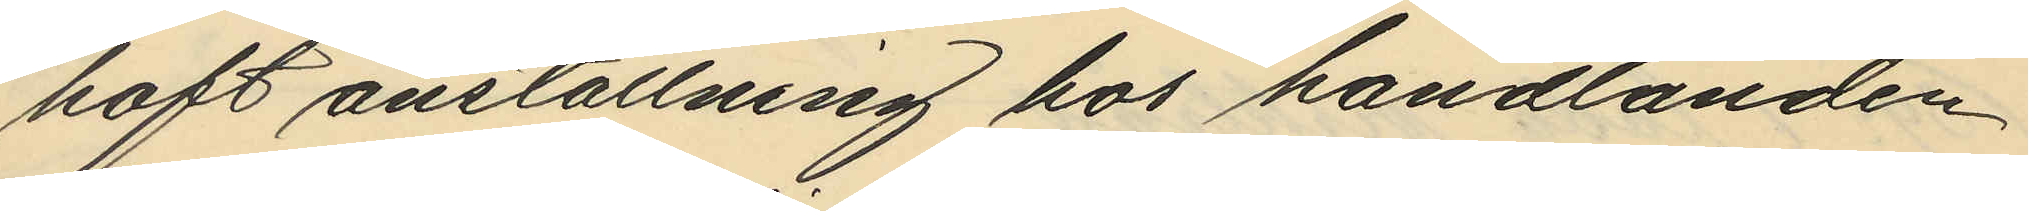haft anställning hos handlanden
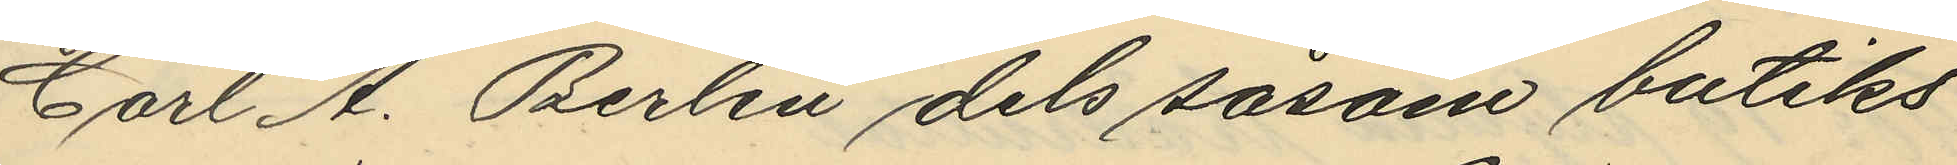Carl A. Berlin dels såsom butiks
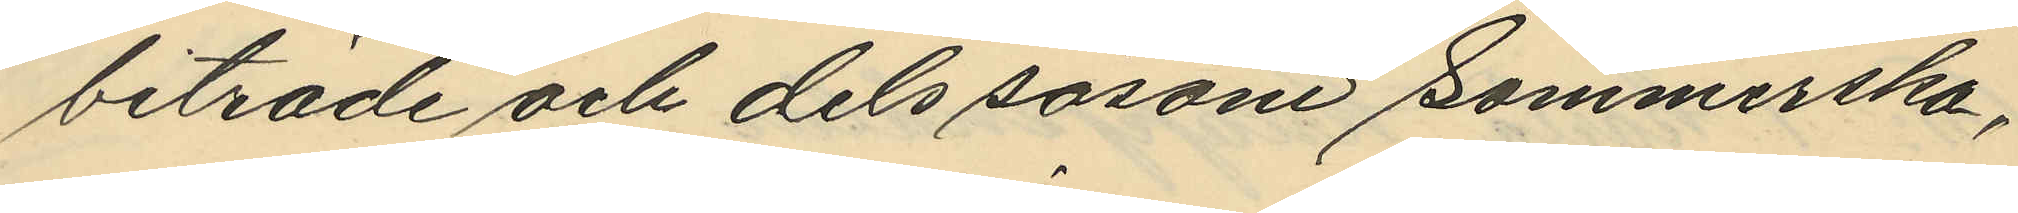biträde och dels såsom sömmerska,
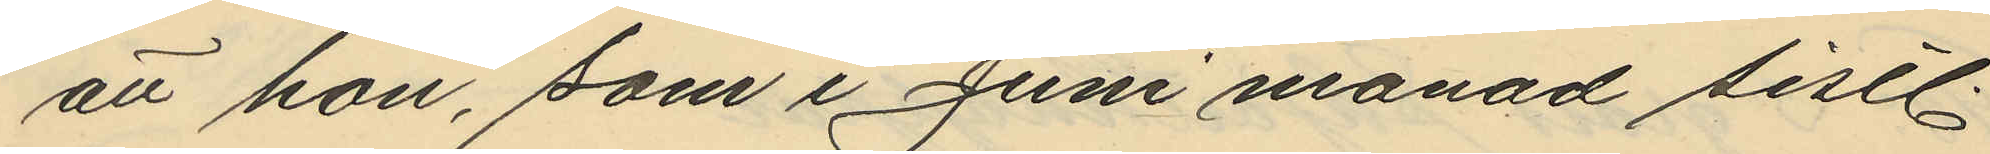att hon, som i Juni månad sistl
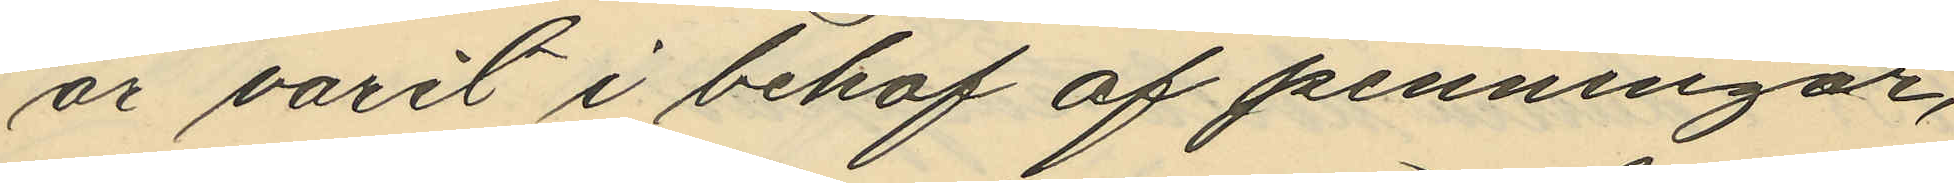år varit i behof af penningar,
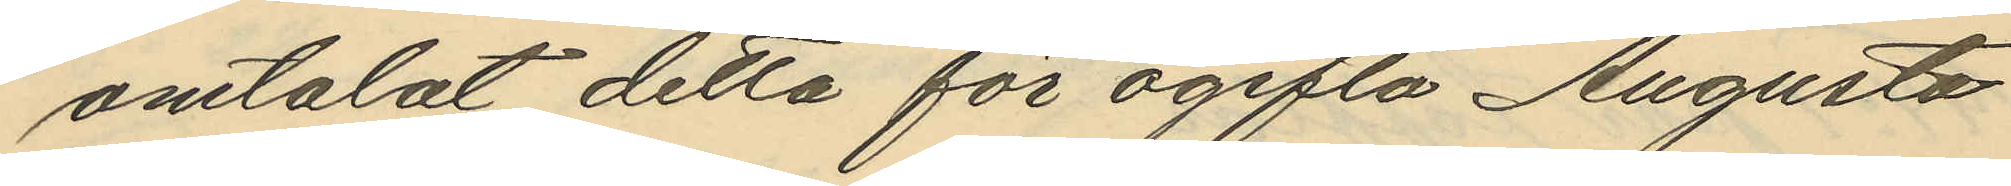omtalat detta för ogifta Augusta
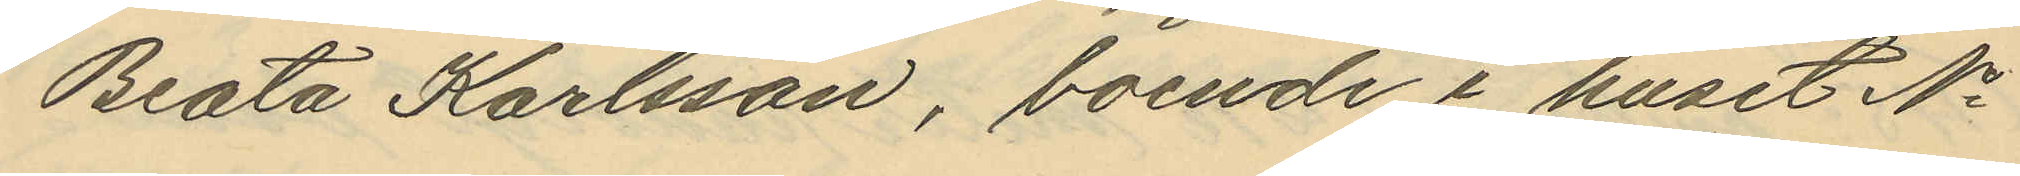Beata Karlsson, boende i huset No
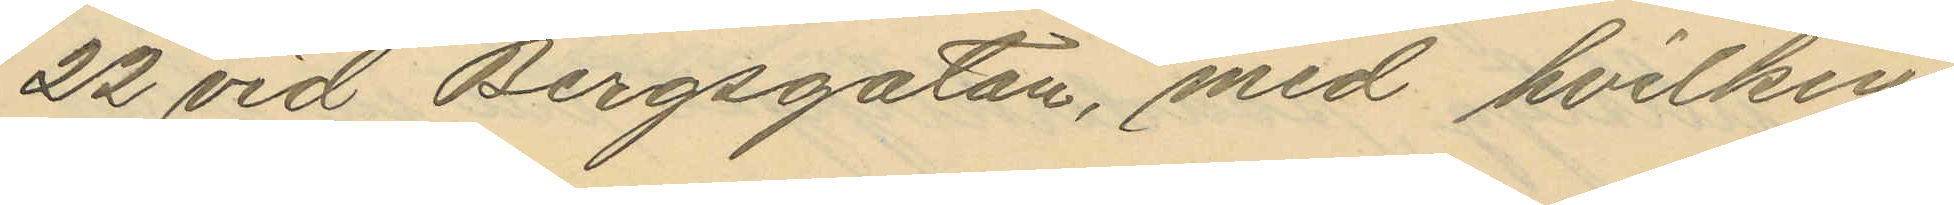22 vid Bergsgatan, med hvilken
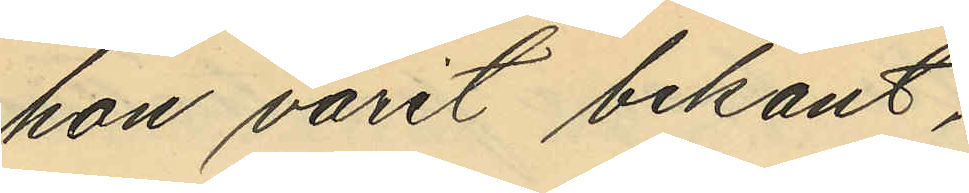hon varit bekant,
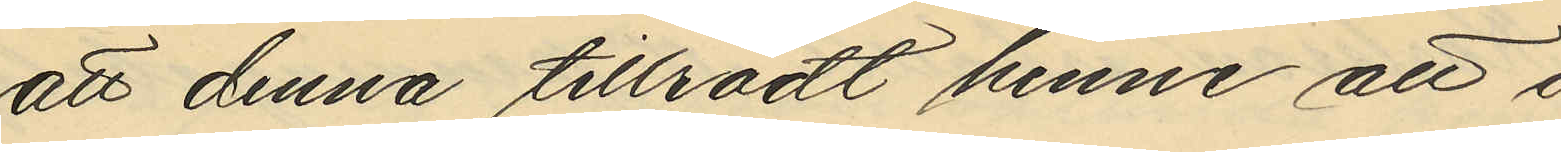att denna tillrådt henne att i
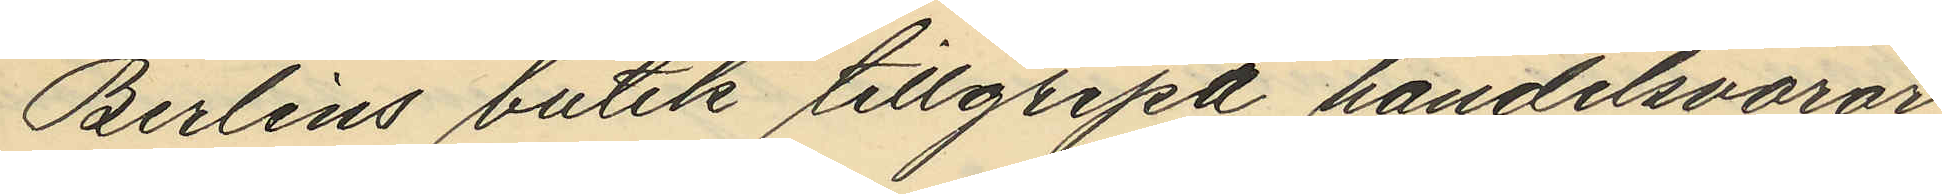Berlins butik tillgripa handelsvaror
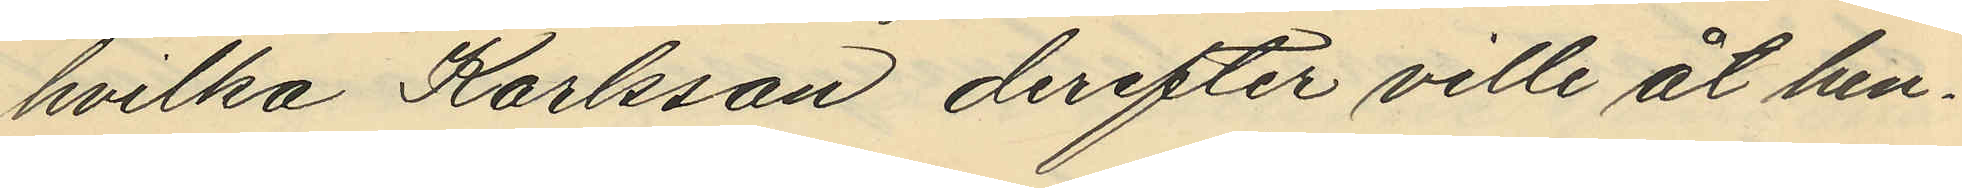hvilka Karlsson derefter ville åt hen¬
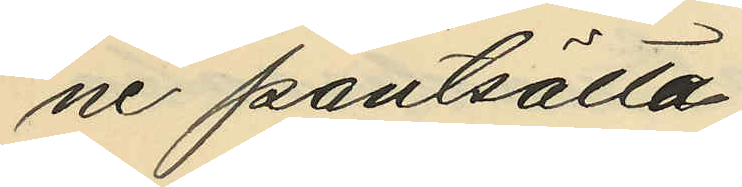ne pantsätta;
